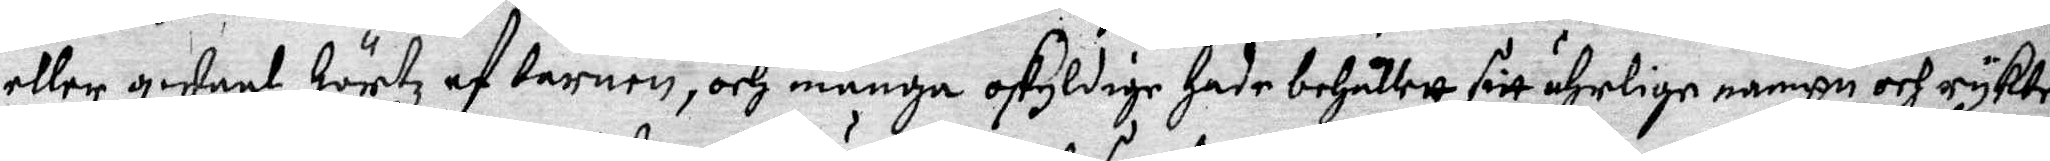eller qwaal hörtz af barnen, och många oskyldige hade behållett sitt ährlige nampn och rykte,
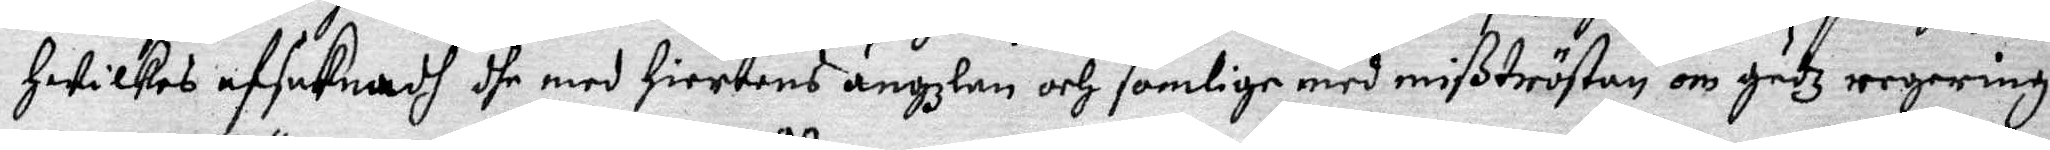hwilkes afsaknadh dhe med hiertens ängzlan och somlige med mißtröstan om Gudz regering
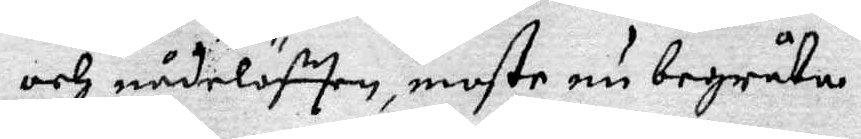och nådelöfften, moste nu begråta:
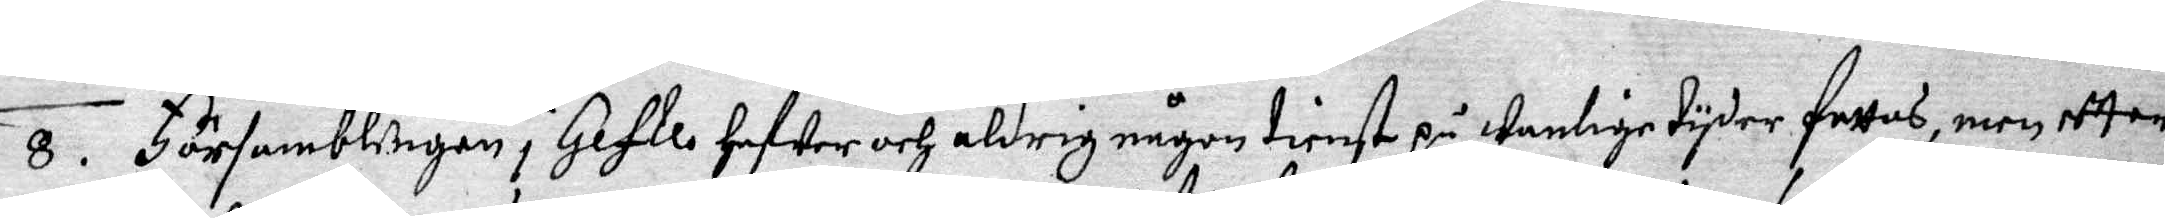8. Församblingen i Gefle hafwer och aldrig någon tienst på wanlige tyder fattas, men eftter
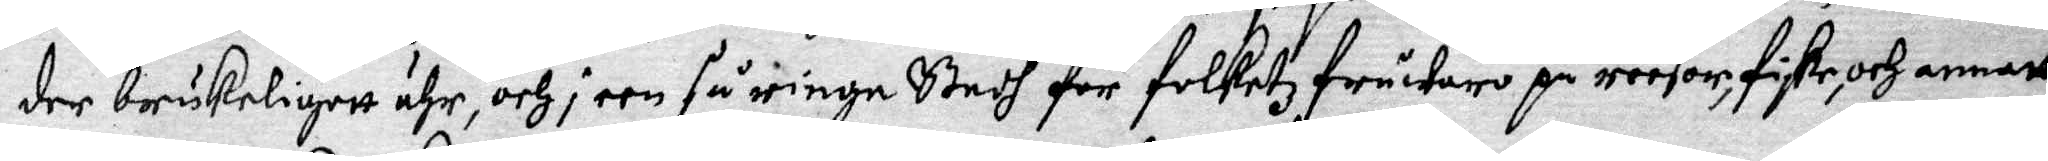der brukeligett ähr, och i een så ringa Stadh för folketz fråwaro på reesor, fiske, och annatt
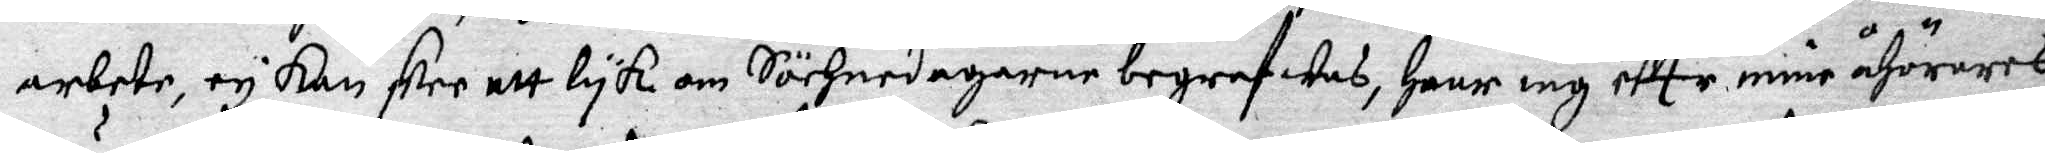arbete, ey Kan skee ett lyk om Söchnedagarne begrafwas, haar iag effter mine åhörares
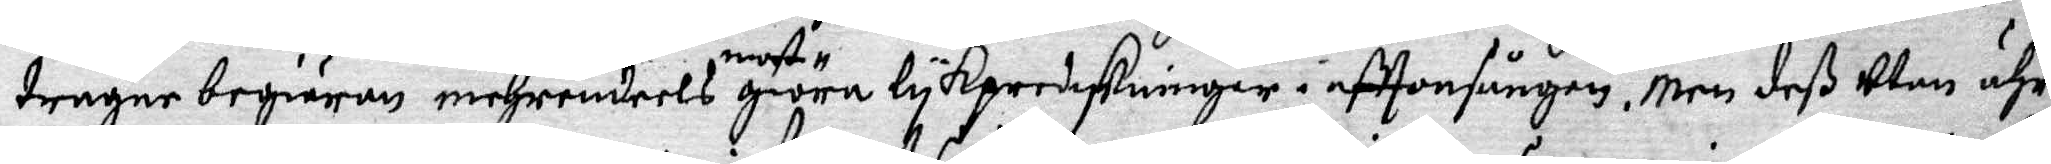trägne begiäran mehrendeels most giöra lykpredykningar i afttonsången. Men deß Utan ähr
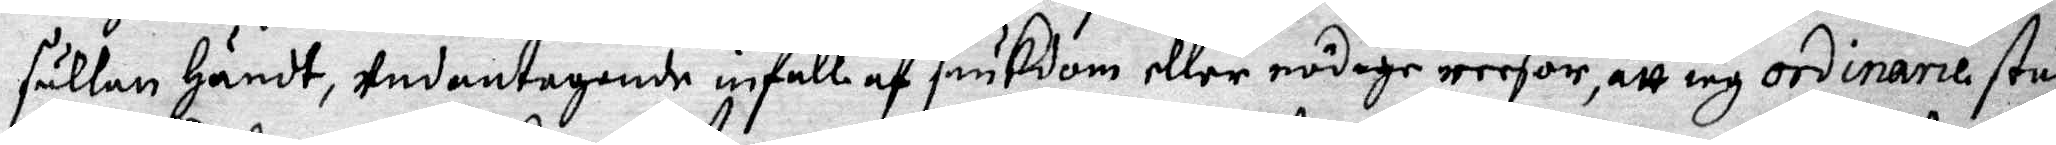sällan händt, Undantagande infall af siukdom eller nödige reesor, att iag ordinarie stun¬
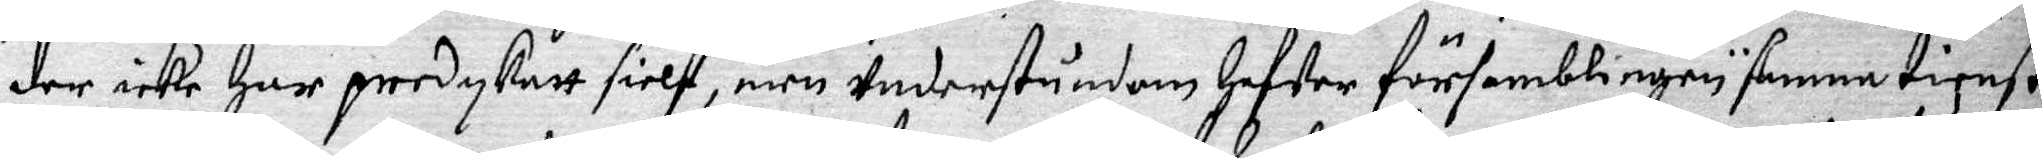der icke har predykatt sielf, men Understundom hafwer församblingen samma tienst
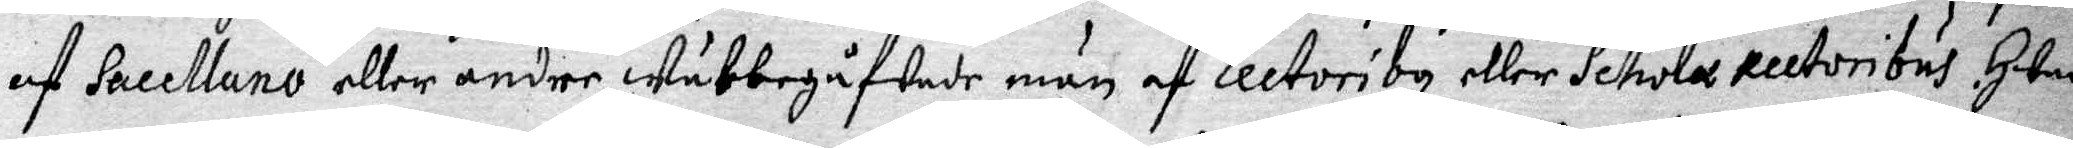af Sacellano eller andre Wälbegåfwade män af Lectoriby, eller Schola rectoribus. Hwad
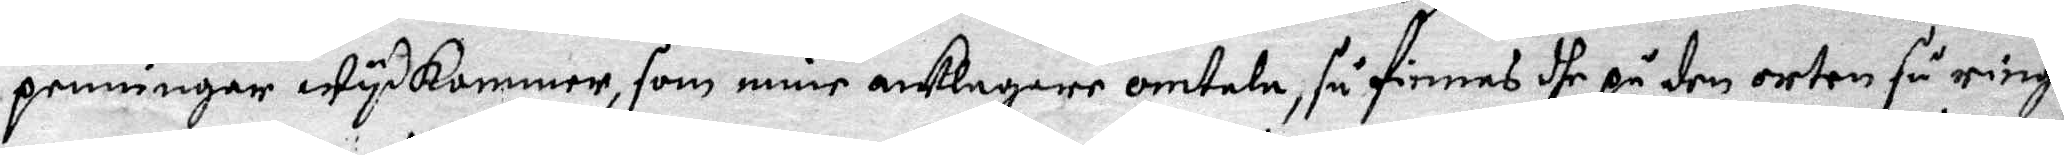penningar wydkommer, som mine anklagare omtala, så finnes dhe på den orten så ringa
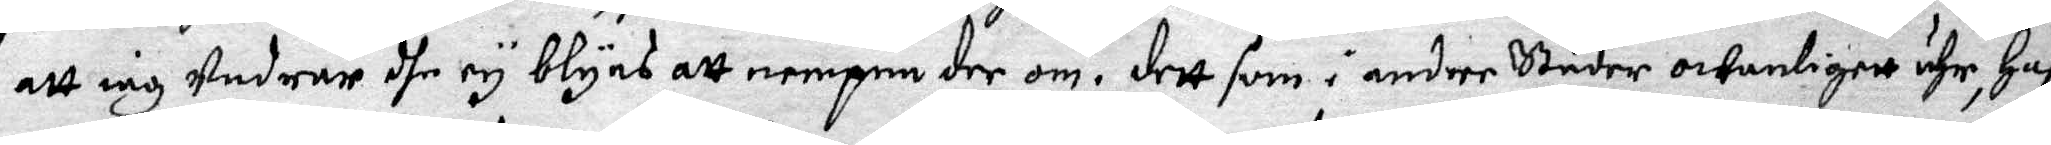att iag Undrar dhe ey blyns att nempna der om, dett som i andre städer owanligett ähr, Haf¬
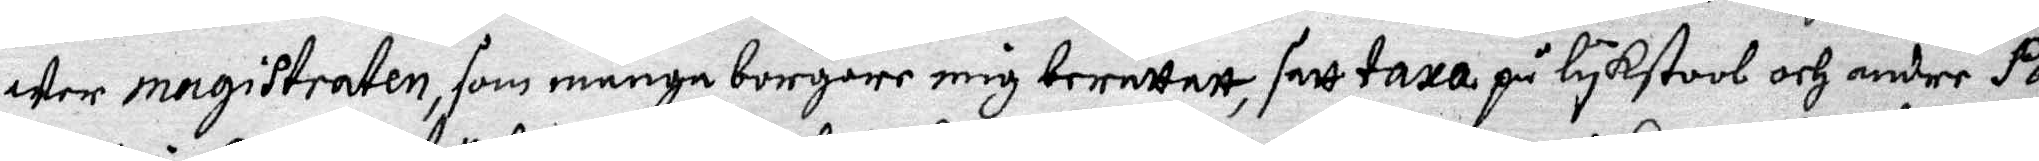Wer magistraten, som många borgare mig berättatt, satt taxa på lykstool och andre Pa¬
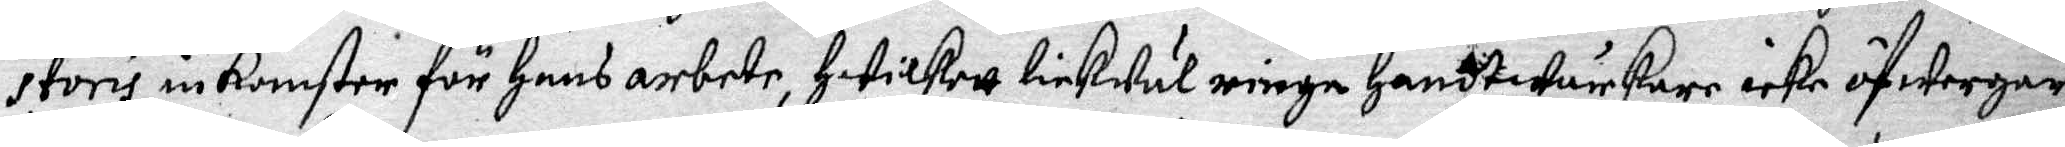storis inkomster för hans arbete, hwilkett lickwäl ringa handtwärkare icke öfwergår
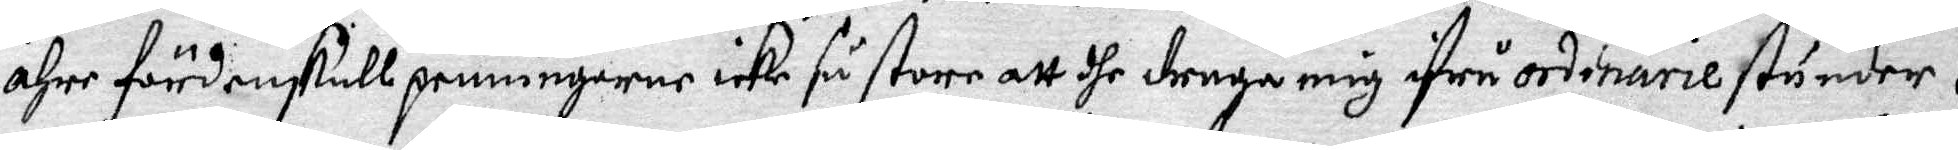ähre fördenskull penningarne icke så store att dhe draga mig ifrå ordinarie stunder.
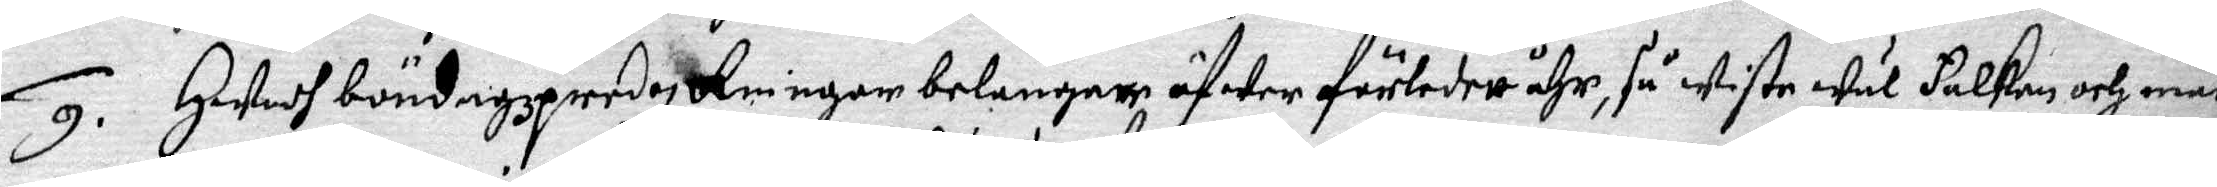9. Hwadh böndagzpredykningar belangar öfwer förledett åhr, så wiste wäl Falken och mån¬
